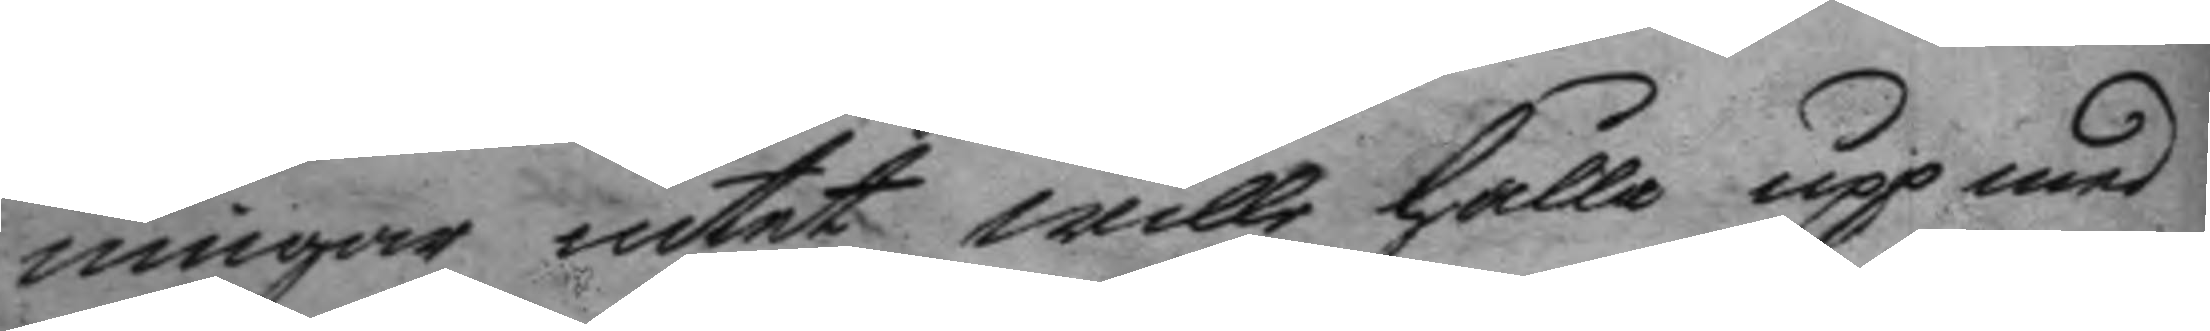ningar intet wille hålla upp med
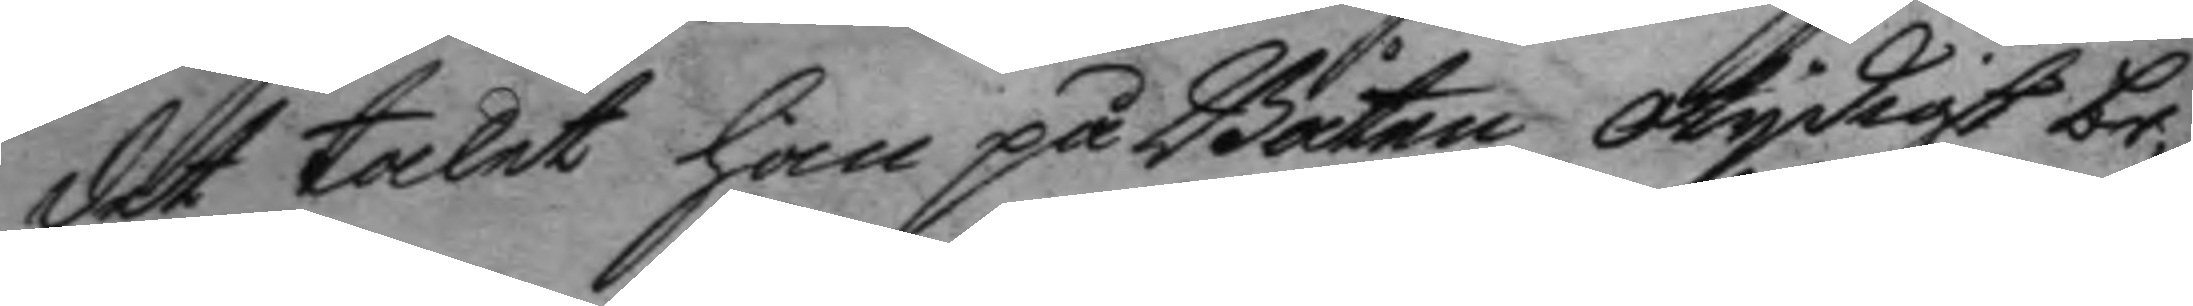det talet han på Båten otydigt be¬
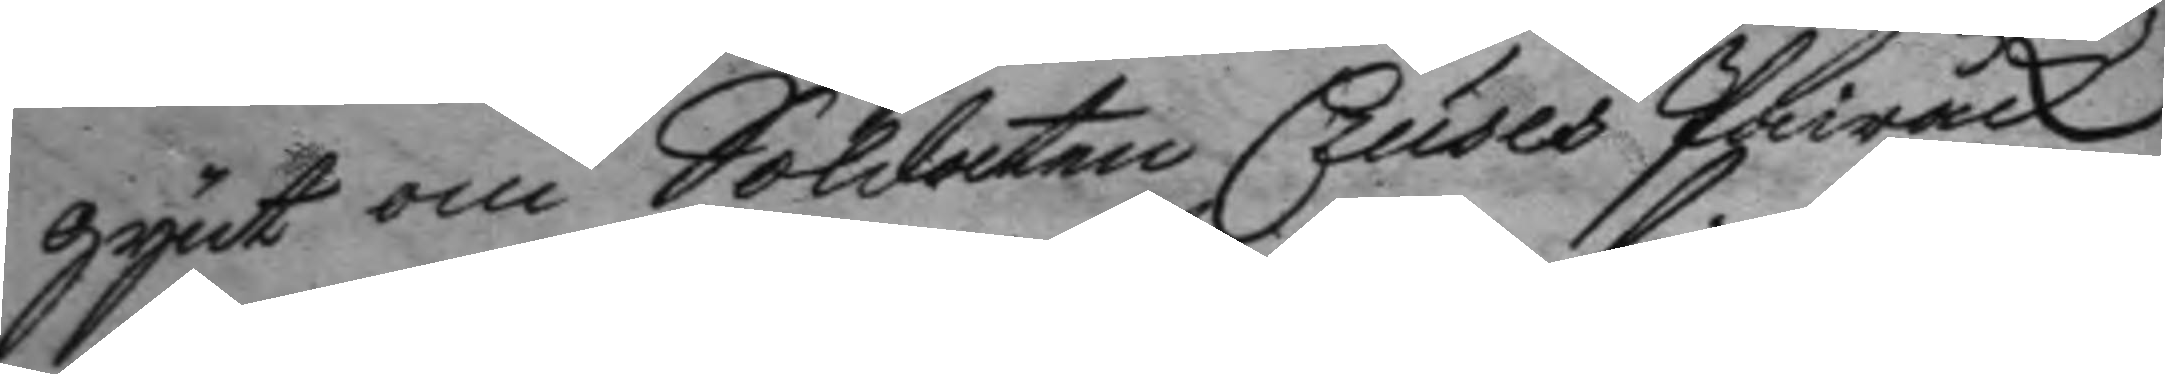gynt om Soldaten Cruses Pairåck
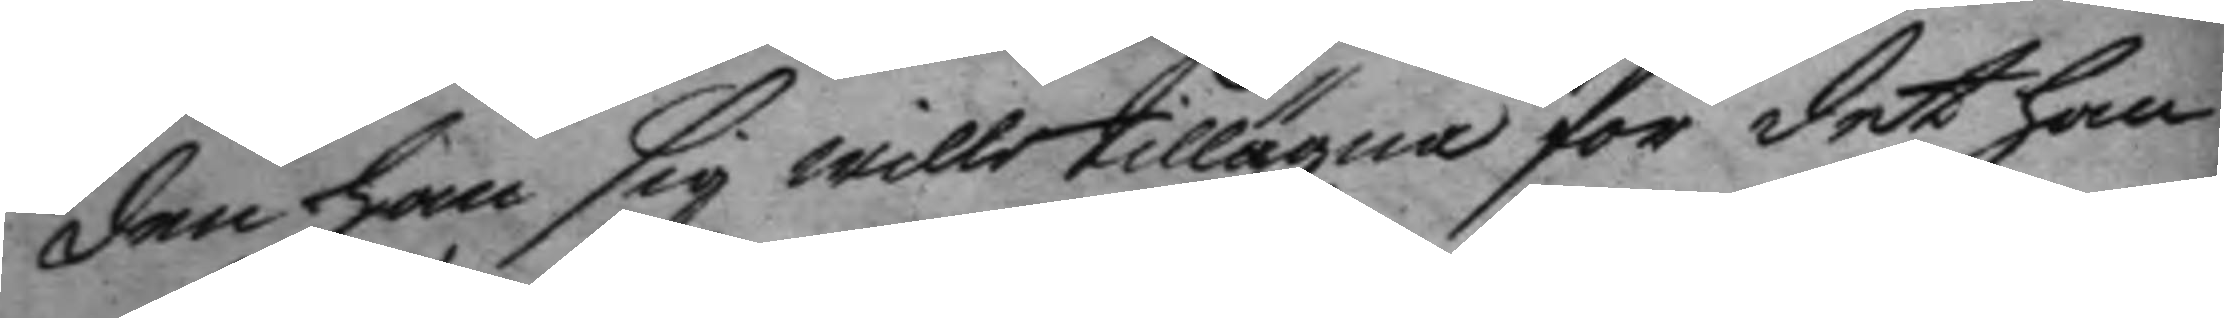dan han sig wille tillägna för det han
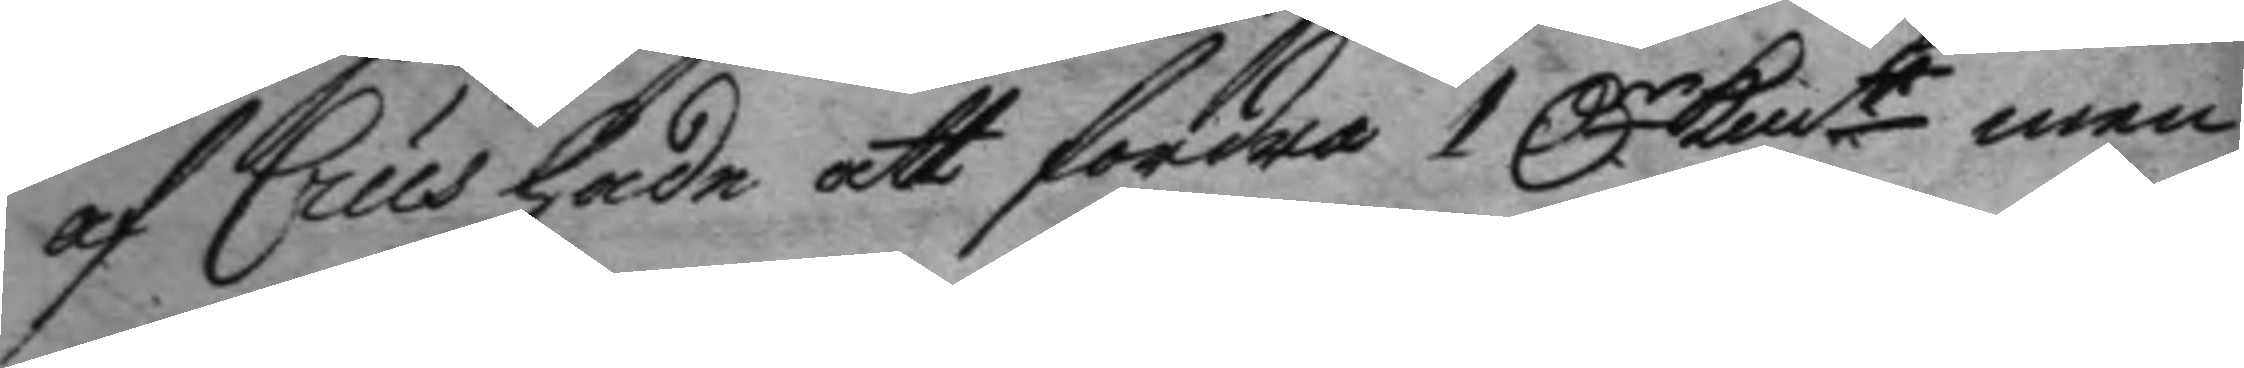af Crus hade att fordra 1 Dr Kmt men 
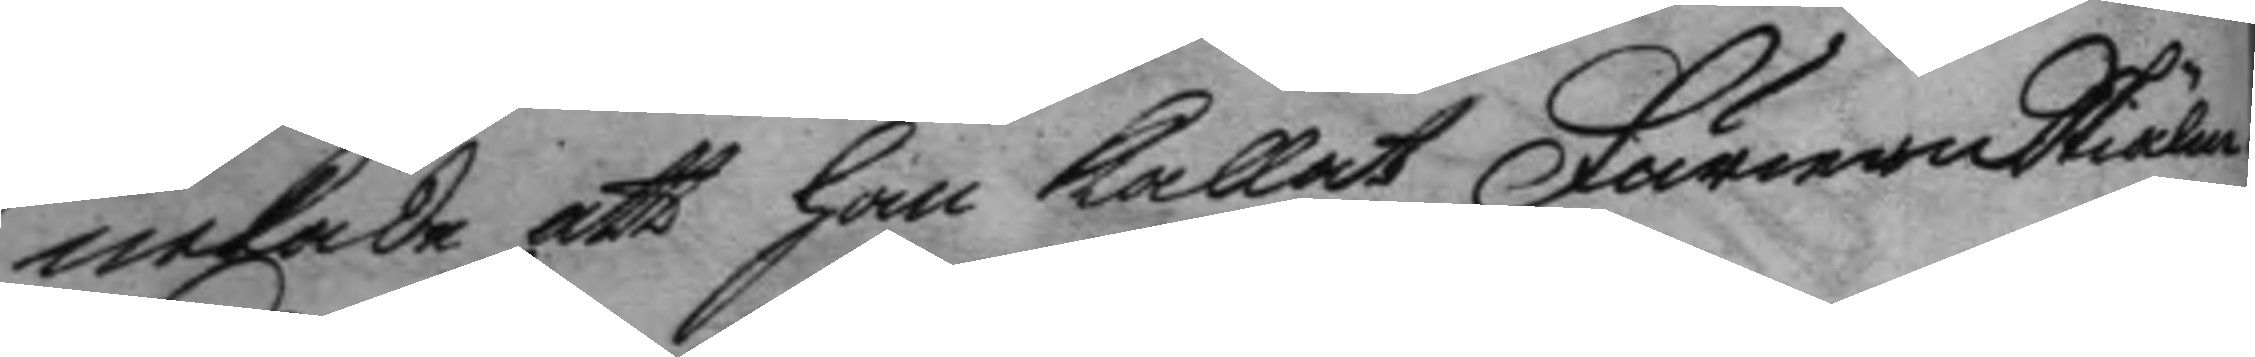nekade att han kallat Furiern Skiälm.
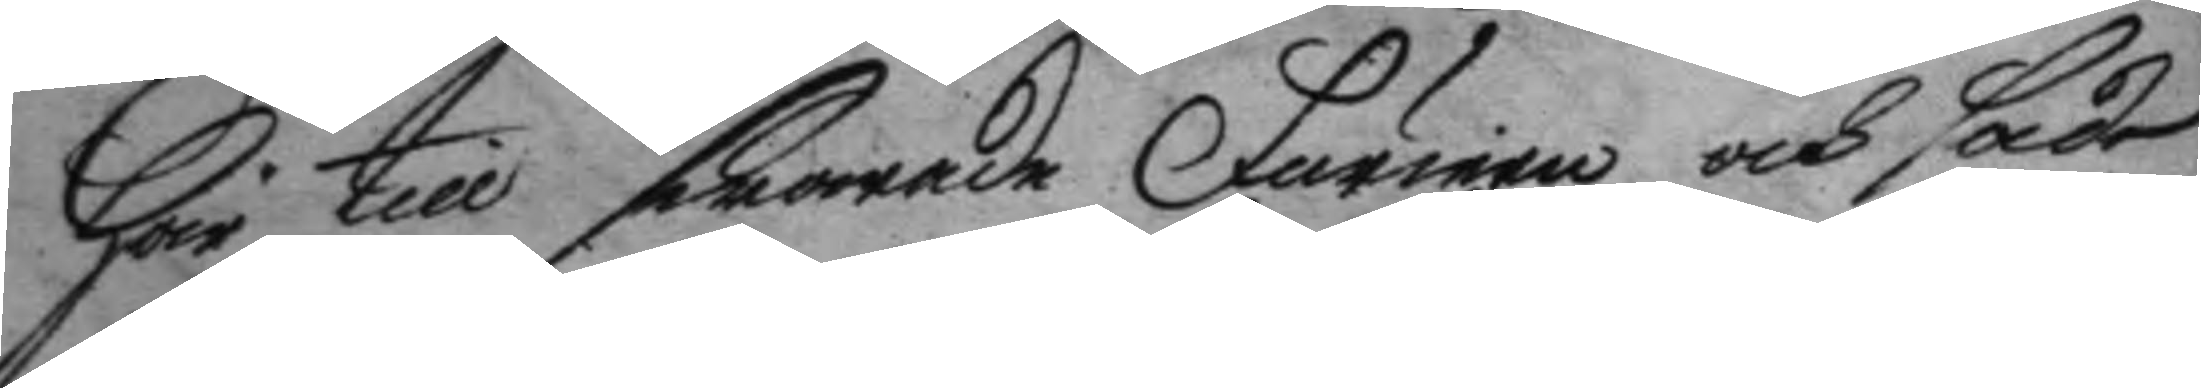Här till swarade Furiren och sade
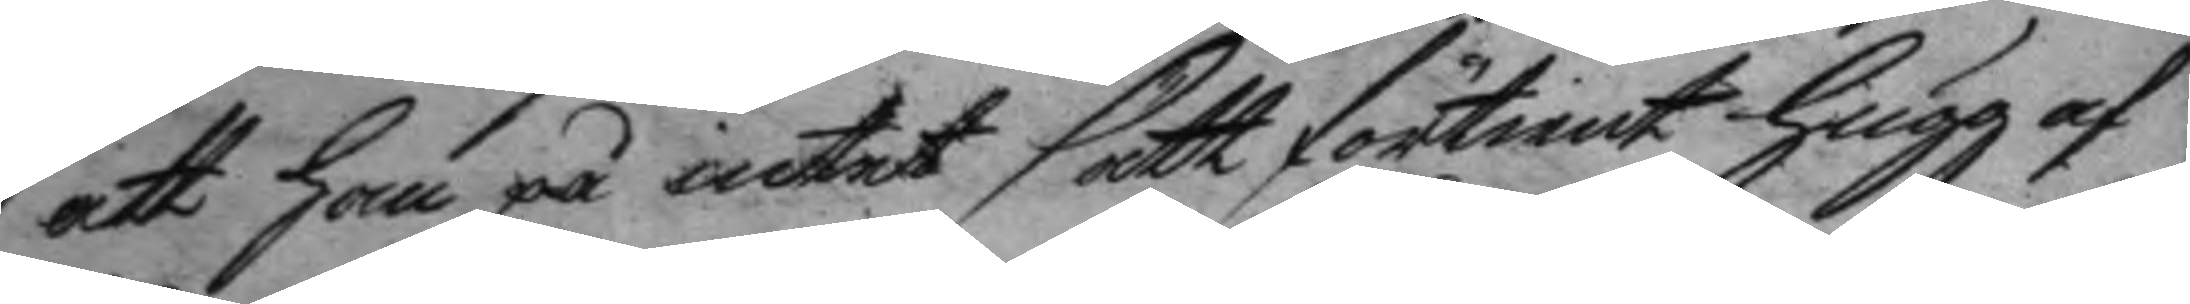att han på intet sätt förtient hugg af
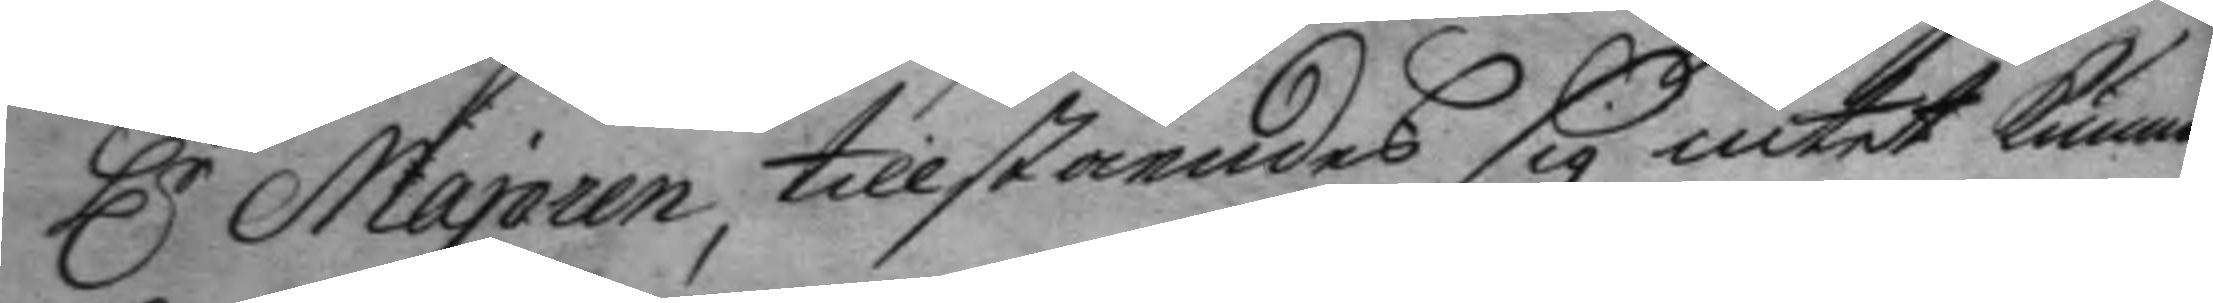Hr Majoren, tillståendes sig intet kunna 
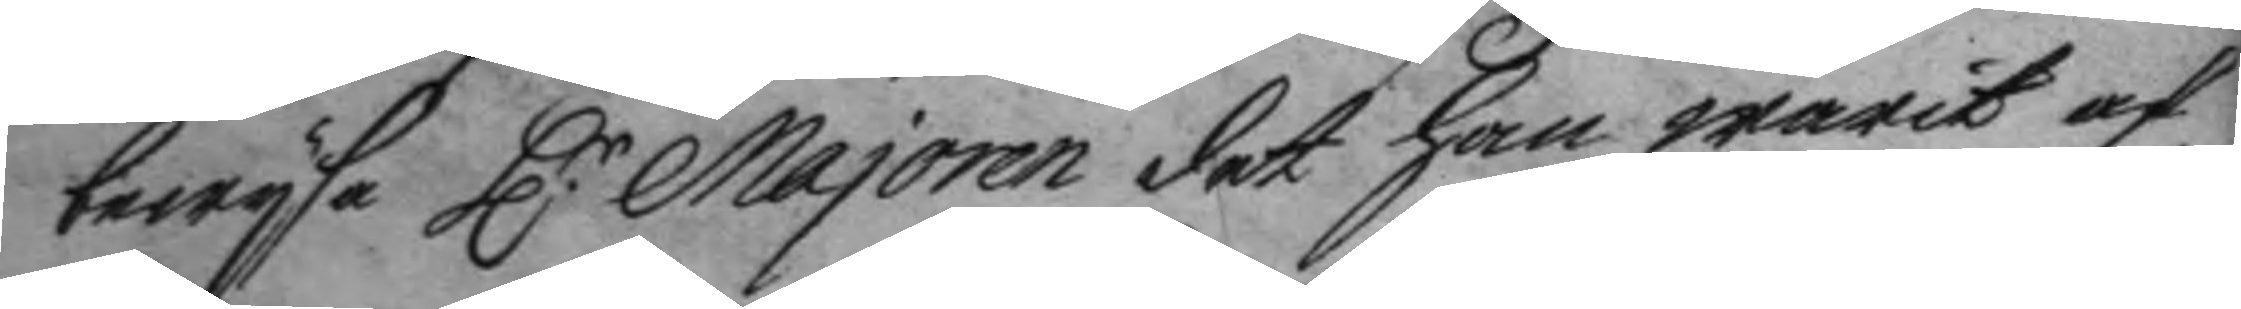bewysa H:r Majoren det han warit af 
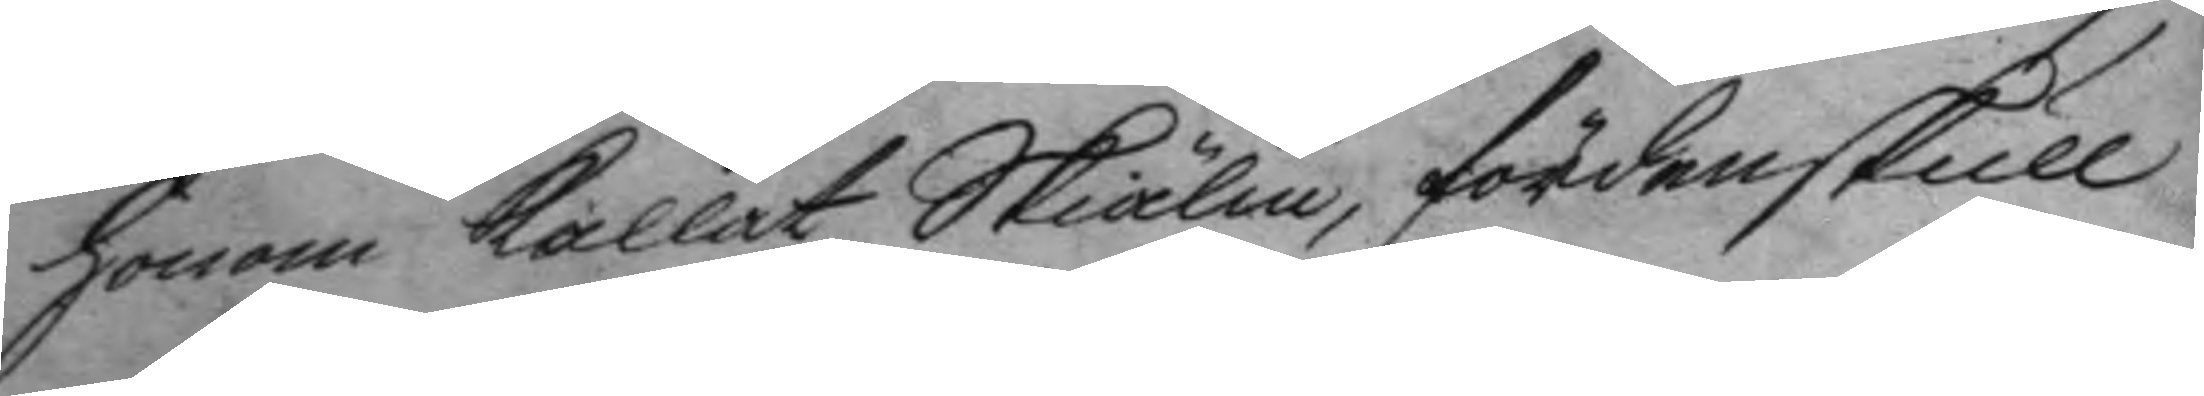honom kallat Skiälm, fördenskull
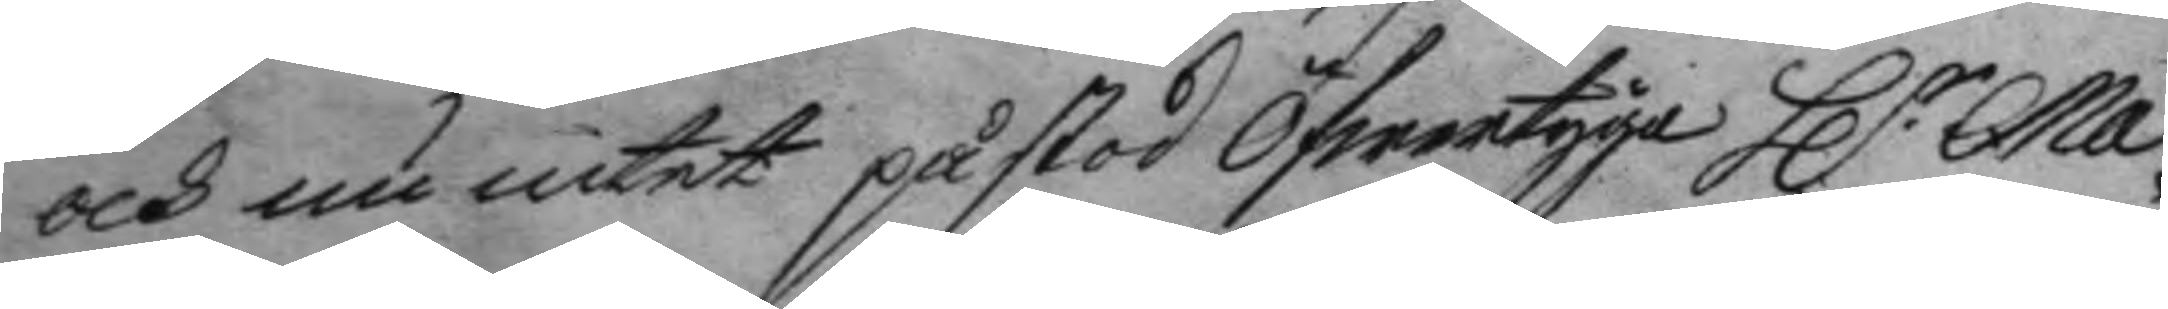och nu intet påstod öfwertyga H:r Ma¬ 
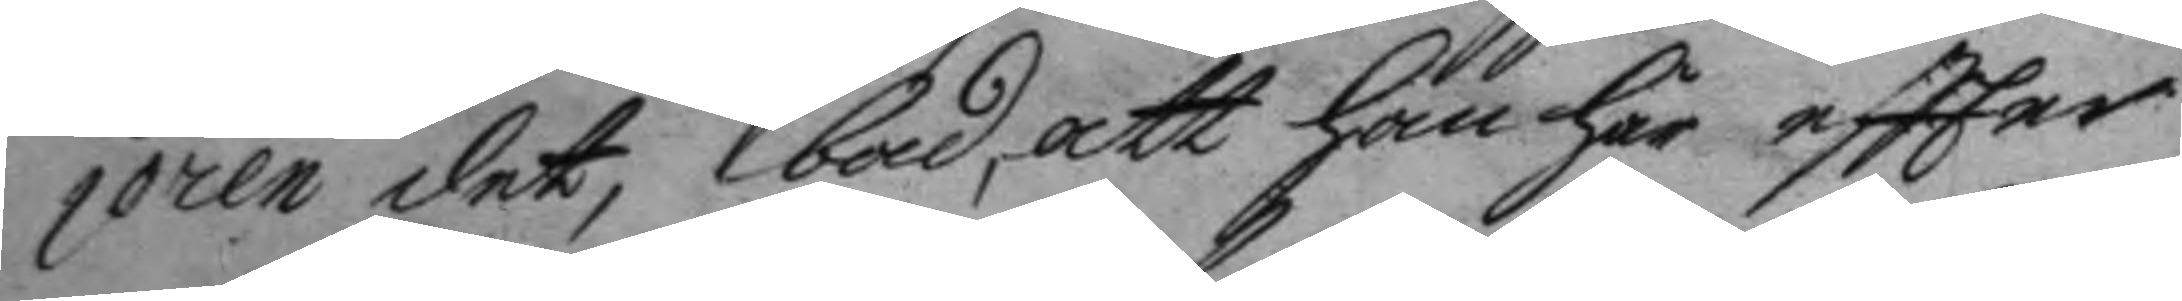joren det, bad, att han här eftter
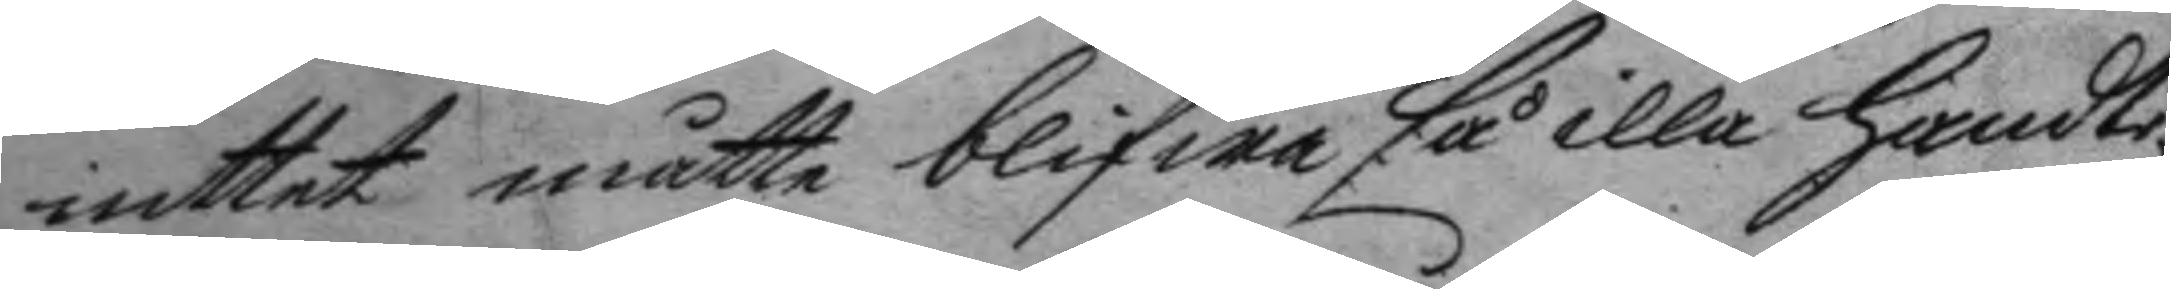inttet måtte blifwa så illa handte¬
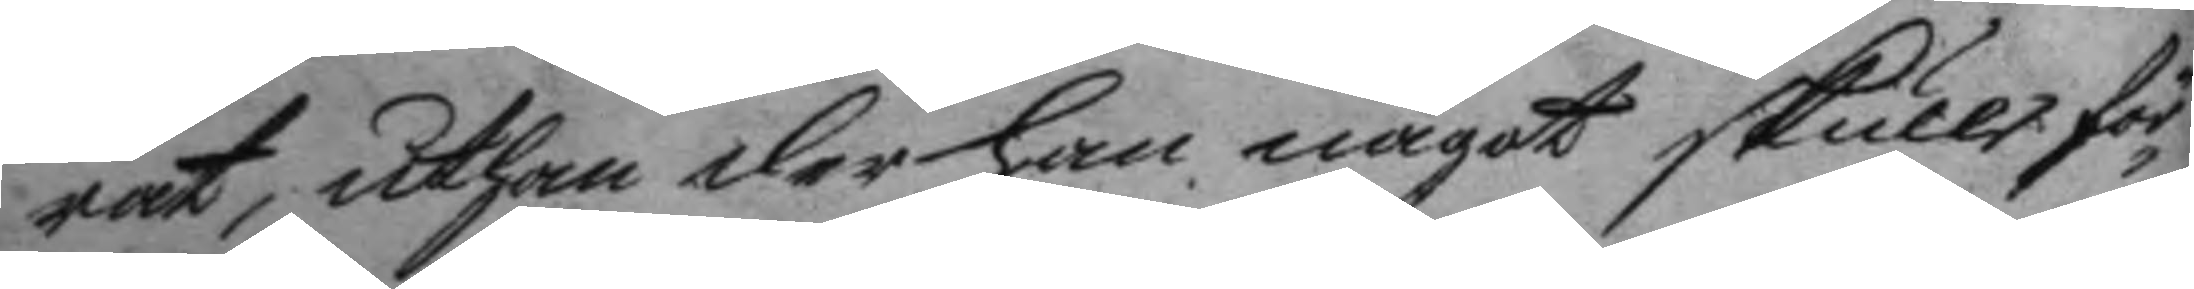rat, uthan der han något skulle för¬
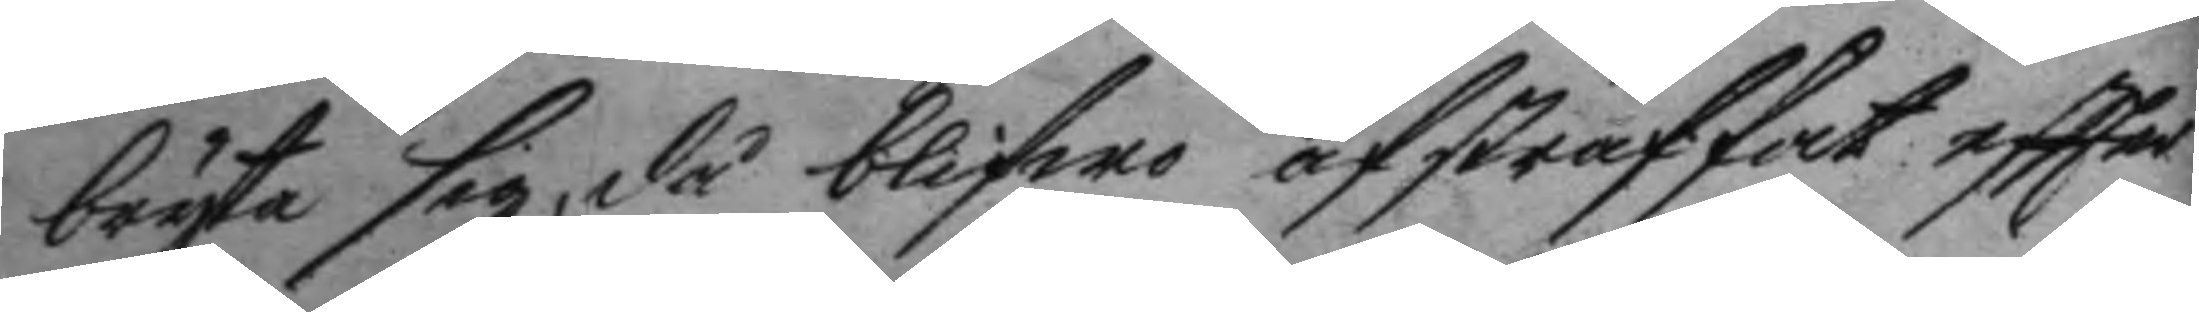bryta sig, då blifwo afstraffat eftter
